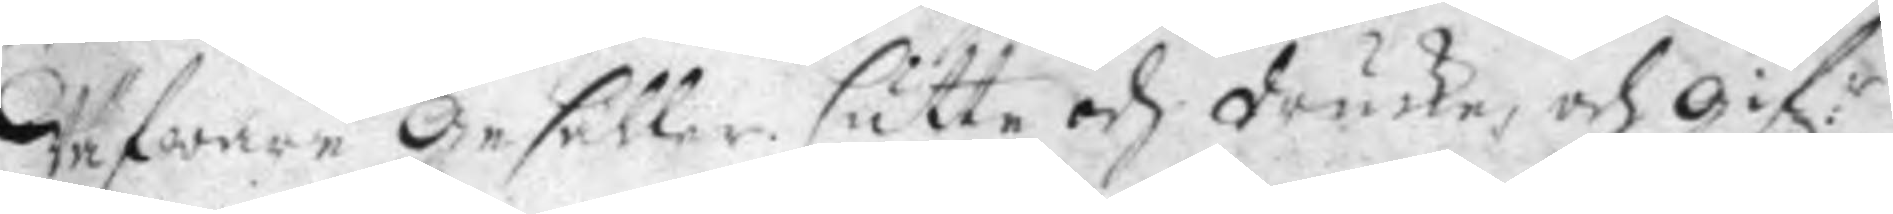Wäfware Gesäller sutte och drucke, och gif:r
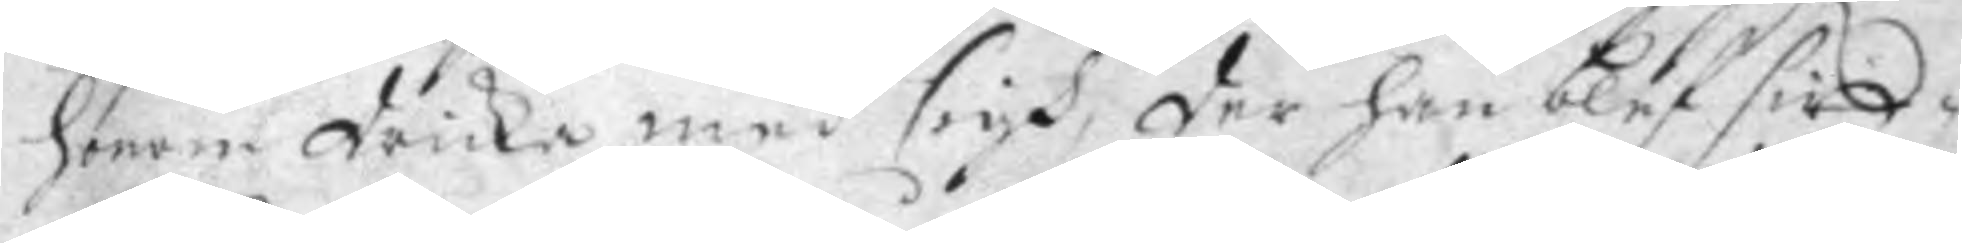honomdricka med sigh, der han blef sitt¬
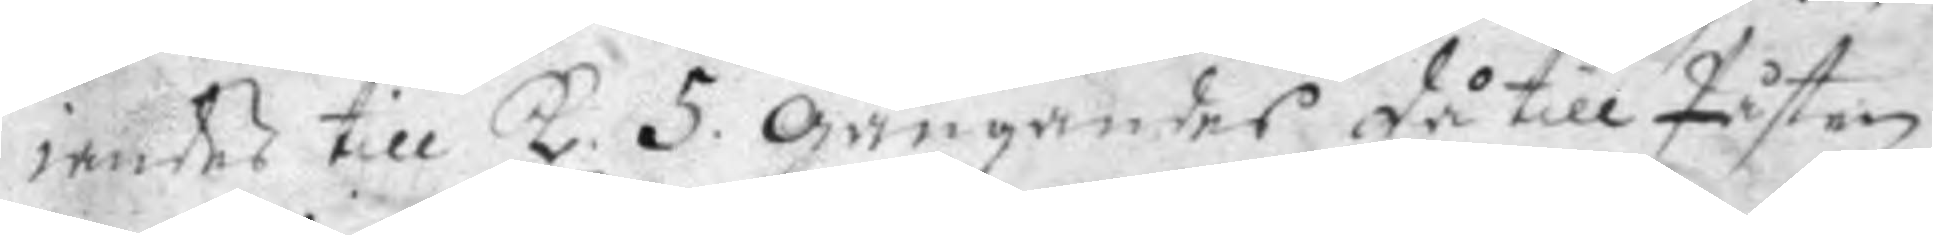iandes till kl. 5. gångandes då till Påsten
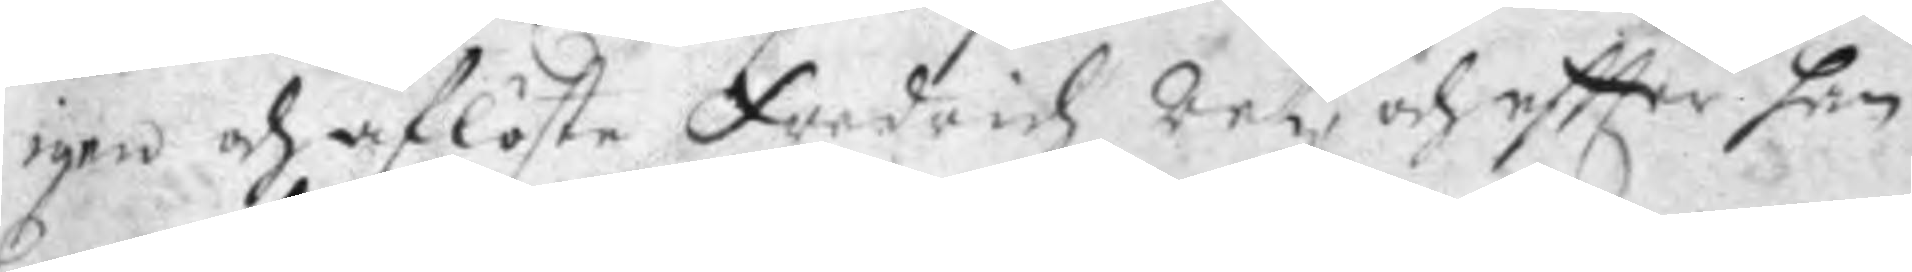igen och aflöste Fredrich Ratz, och eftter han
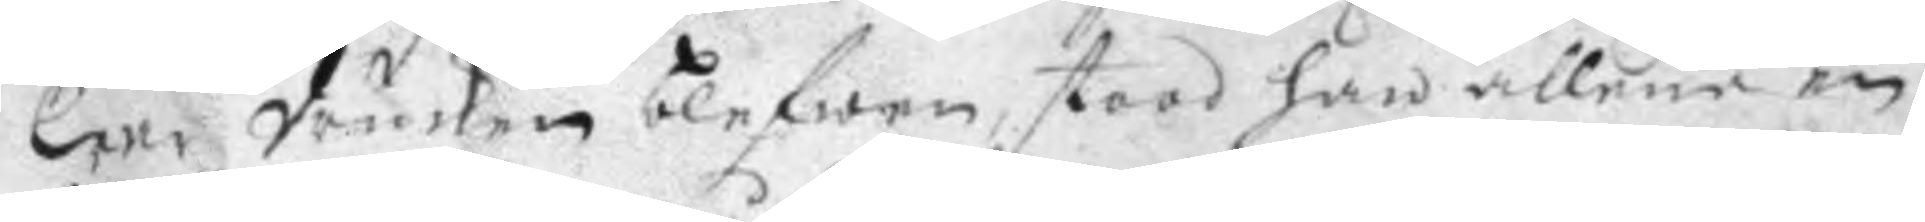war drucken blefwen, stood han allena en
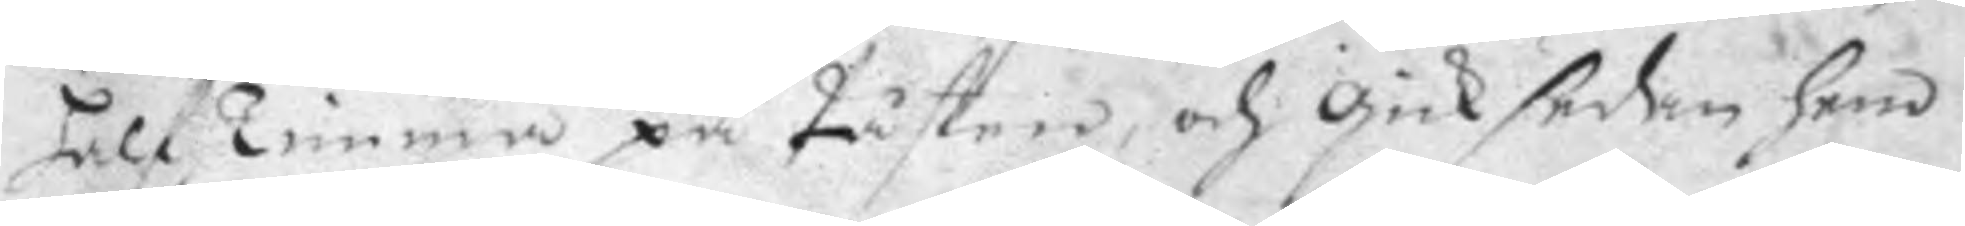half Timma på Påsten, och gick sedan hem
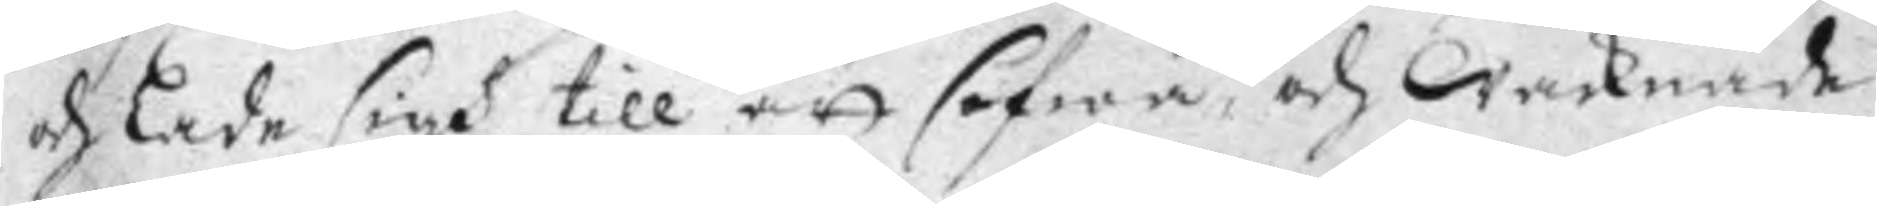och lade sigh till att sofwa, och waknade
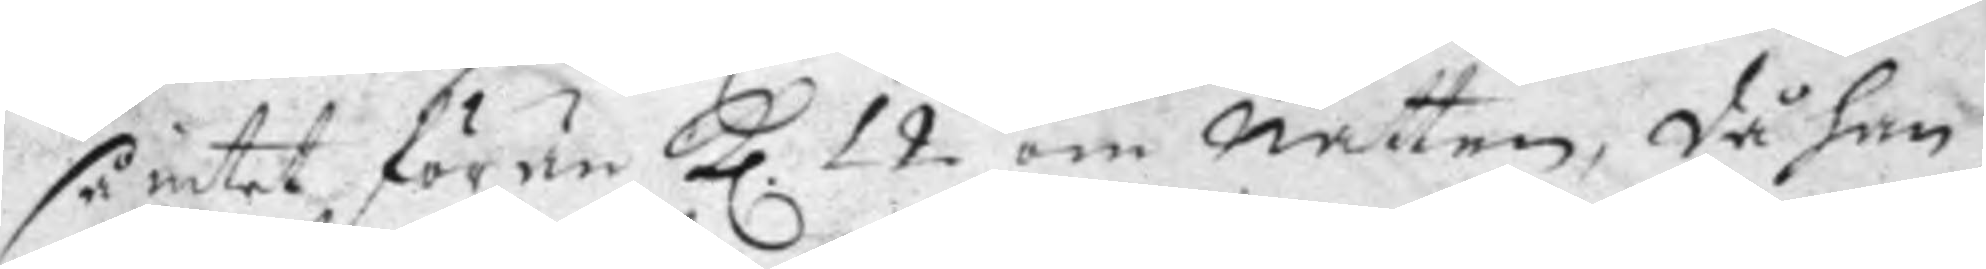så intet förän kl. 12 om natten, då han
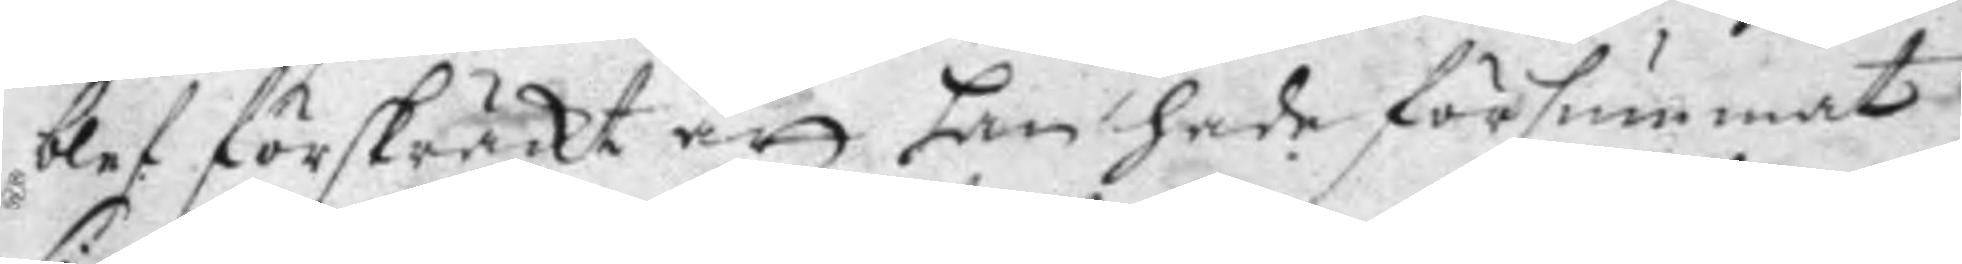blef förskräckt att han hade försummat
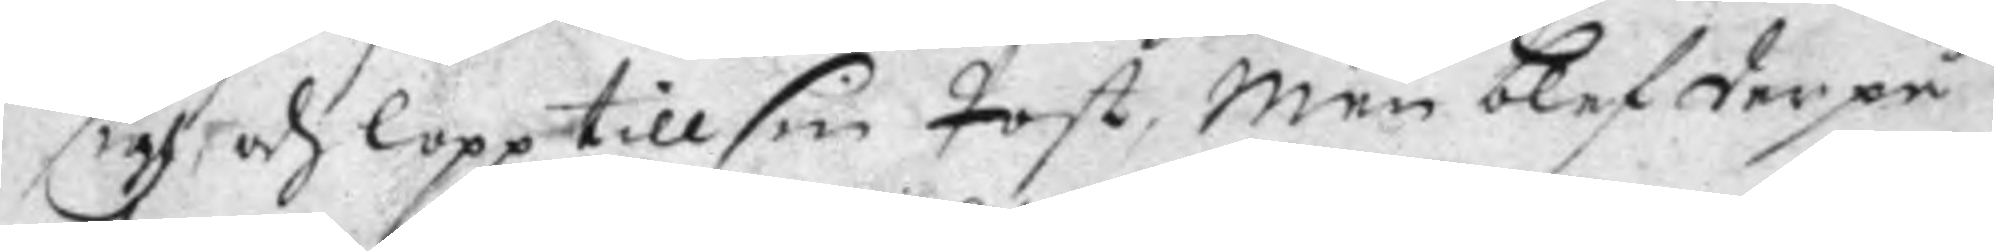sigh och lopp till sin Post, men blef derpå
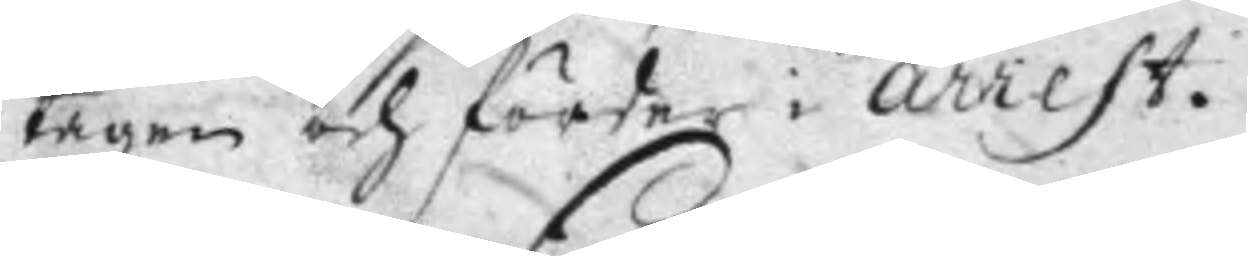tagen och förder i arrest.
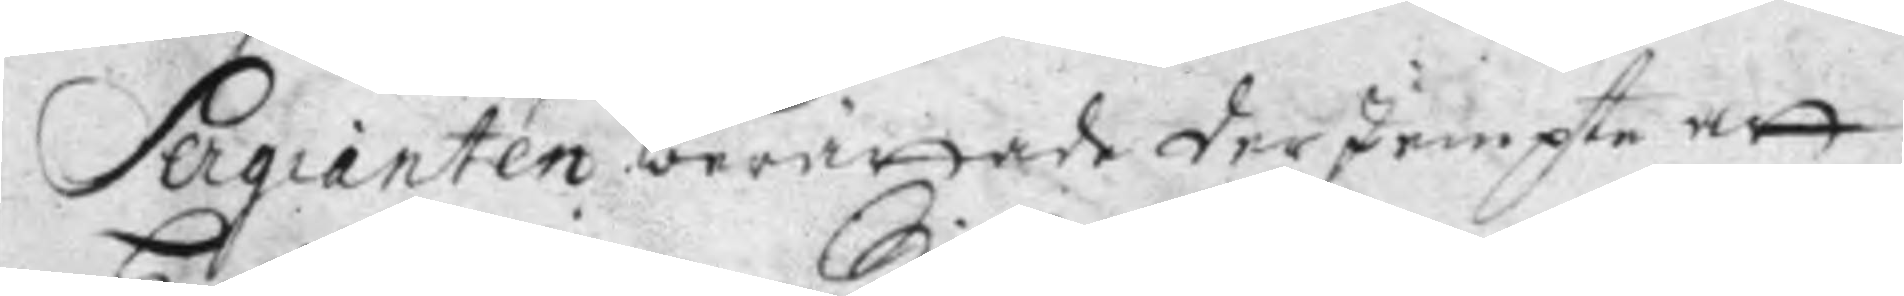Sergianten beröttade derJempte att
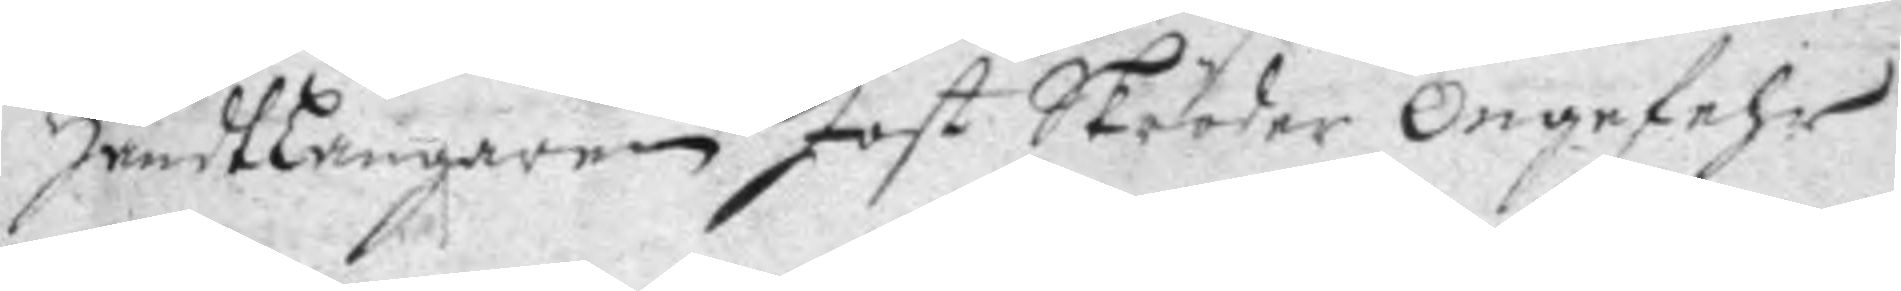Handtlangaren Jost Skröder ongefehr
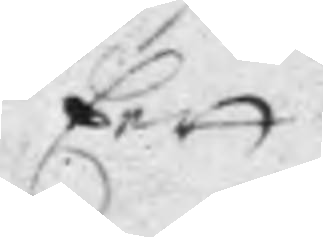Eett
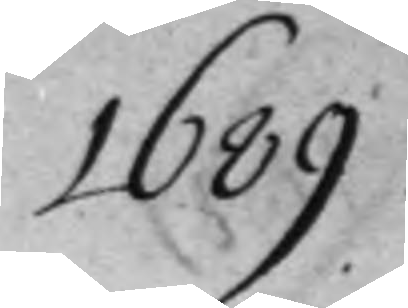1689
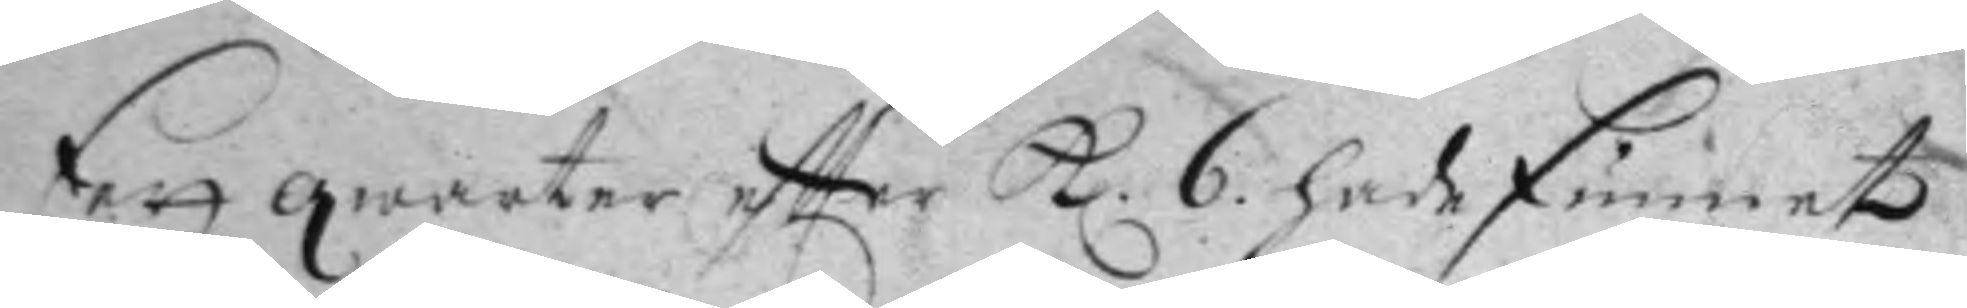Eett qwarter eftter kl. 6. hade funnet
